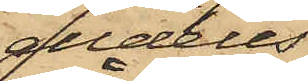alldeles
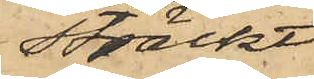sträckt;
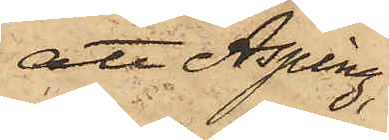att Asping,
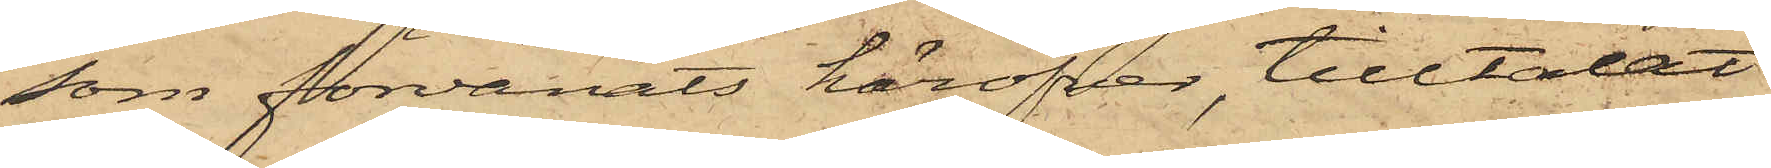som förvånats häröfver, tilltalat
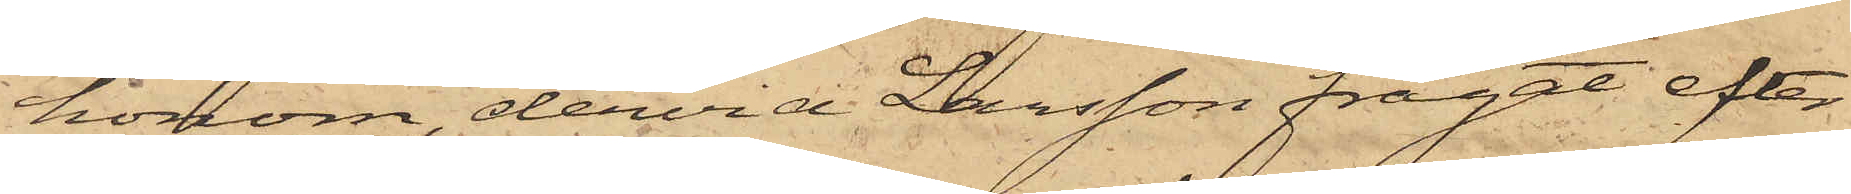honom, dervid Larsson frågat efter
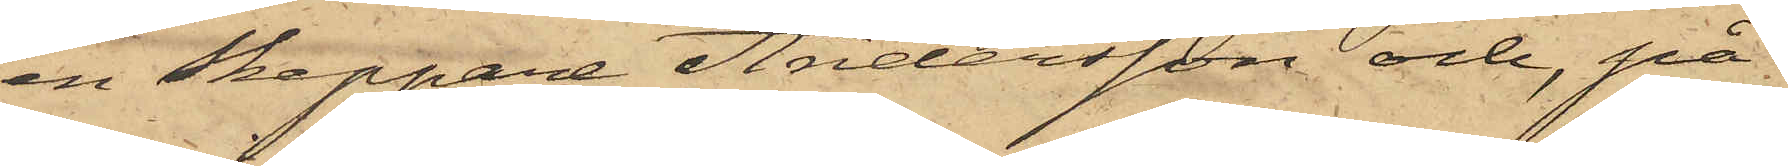en Skeppare Andersson och, på
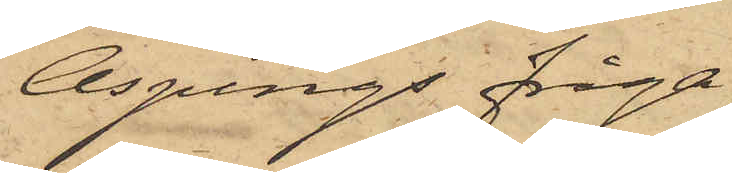Aspings fråga,
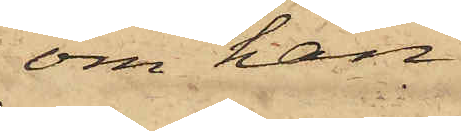om han
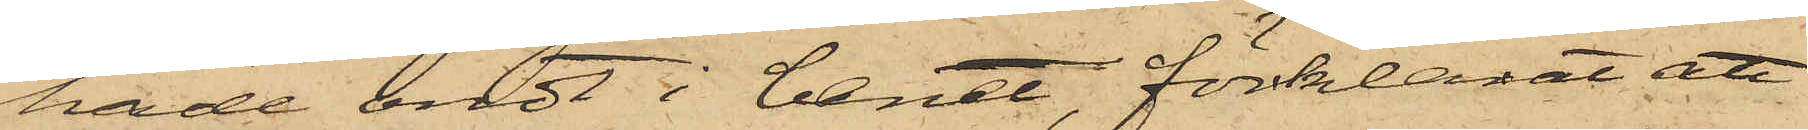hade ondt i benet, förklarat att
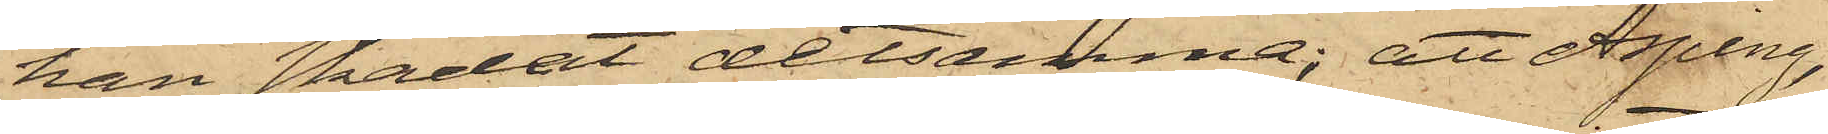han skadat detsamma; att Asping,
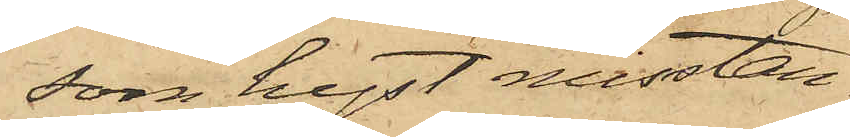som hyst misstan¬
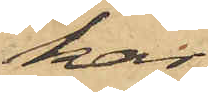kar,
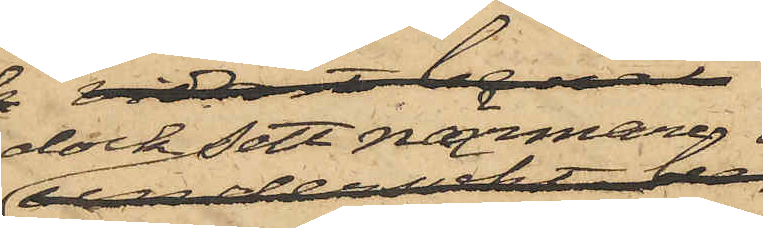dock sett närmare
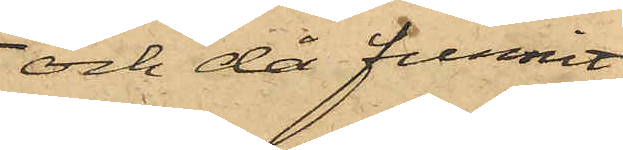och då funnit
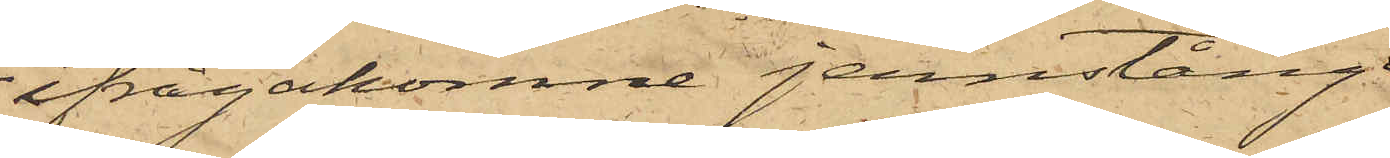ifrågakomne jernstång
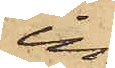in¬
